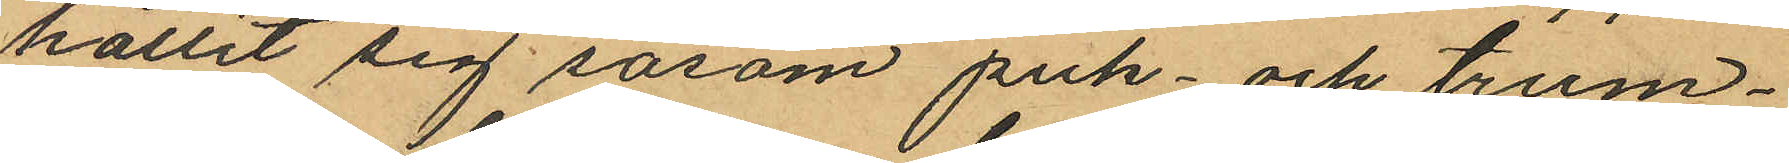hållit sig såsom puk- och trum¬
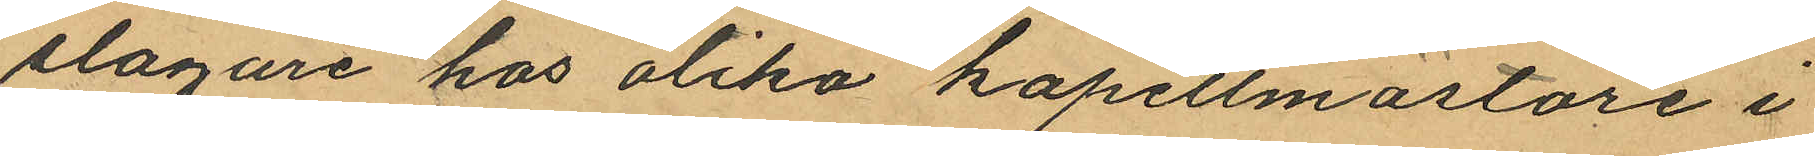slagare hos olika kapellmästare i
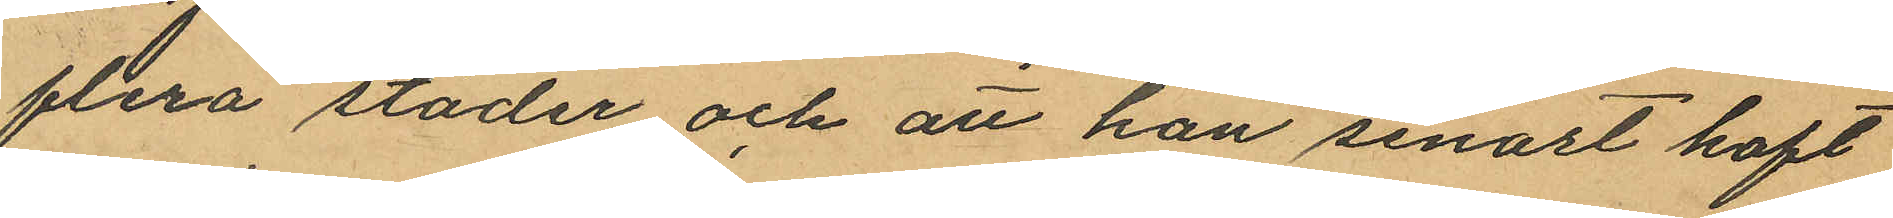flera städer och att han senast haft
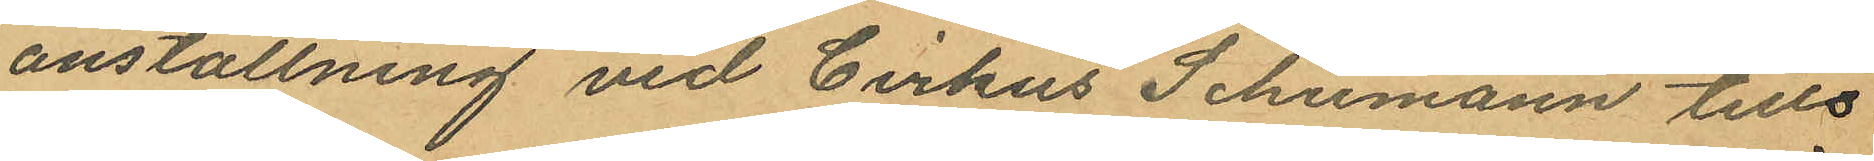anställning vid Cirkus Schumann tills
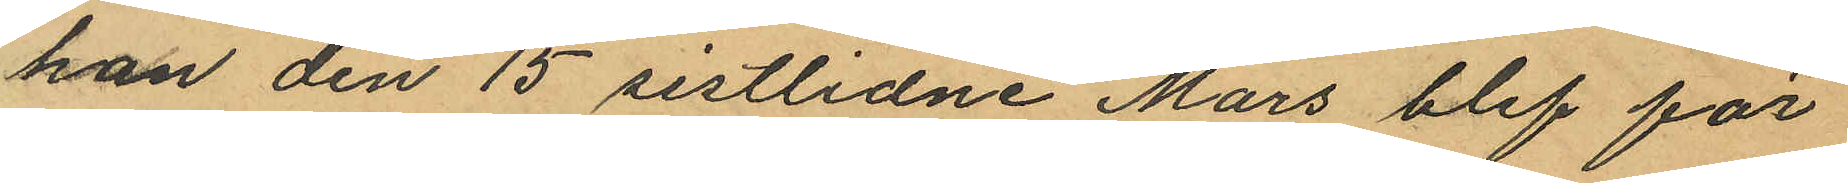han den 15 sistlidne Mars blef för
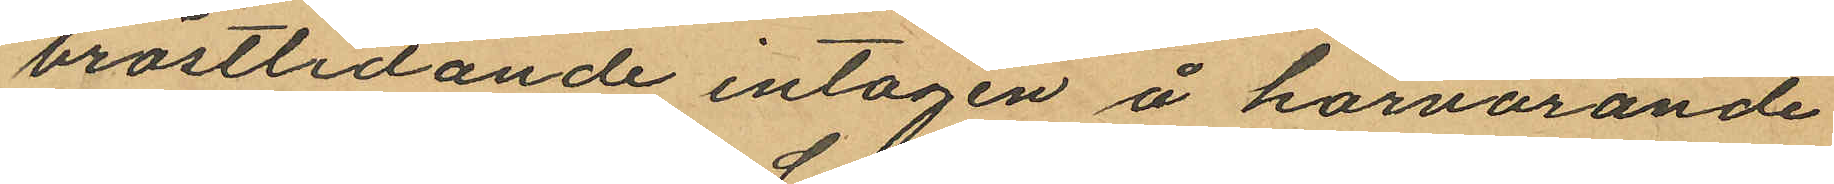bröstlidande intagen å härvarande
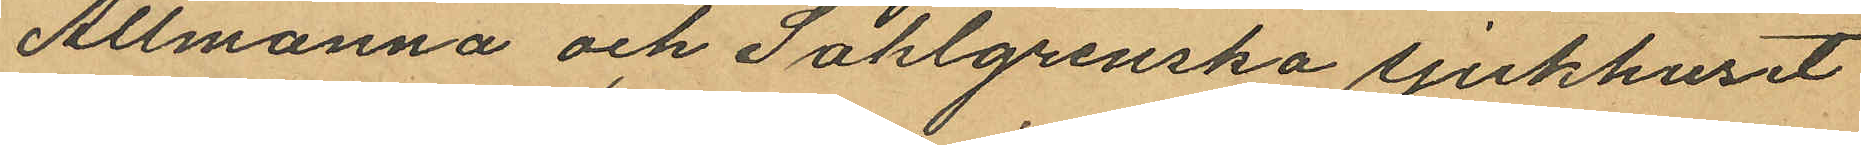Allmänna och Sahlgrenska sjukhuset
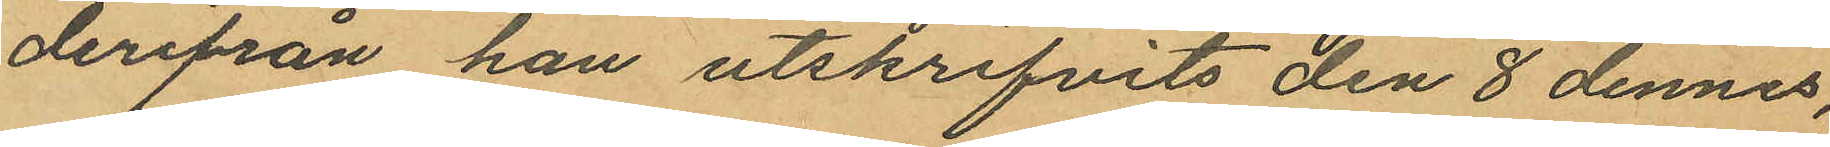derifrån han utskrifvits den 8 dennes,
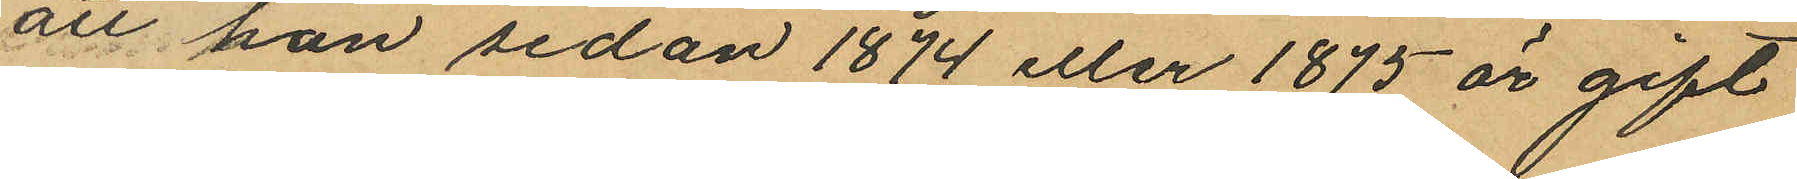att han sedan 1874 eller 1875 är gift
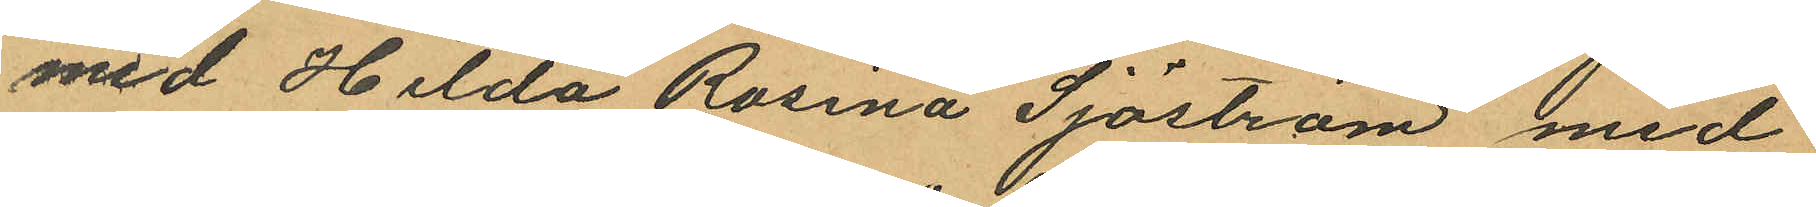med Hilda Rosina Sjöström med
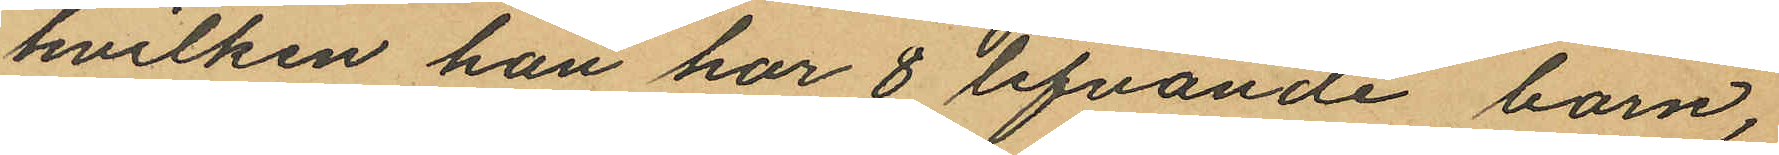hvilken han har 8 lefvande barn,
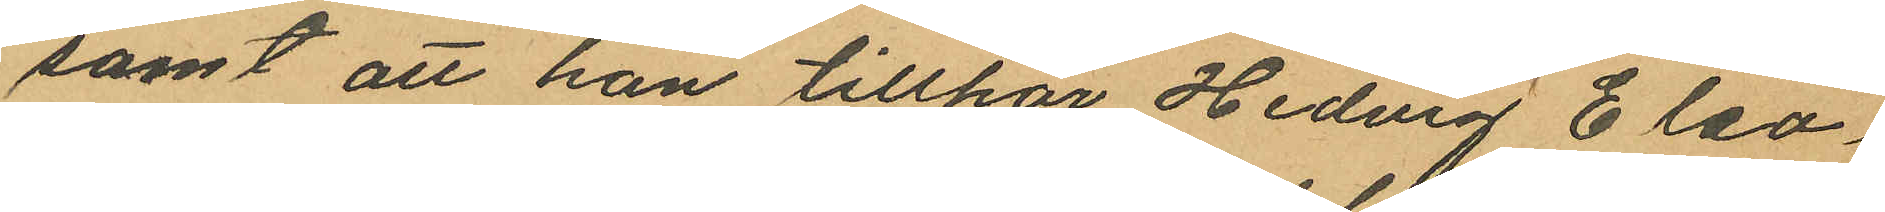samt att han tillhör Hedvig Eleo¬
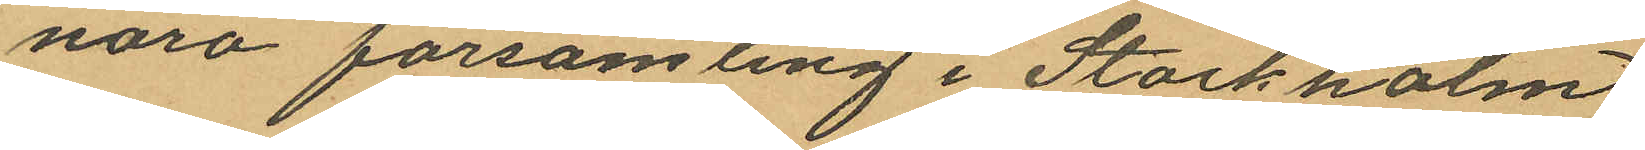nora församling i Stockholm
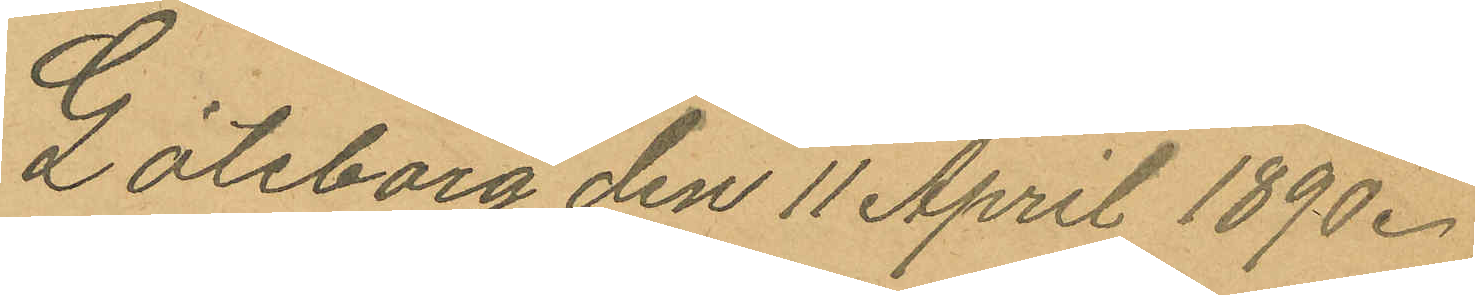Göteborg den 11 April 1890.
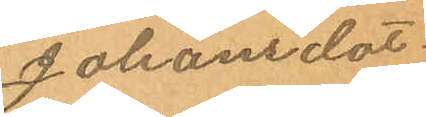Johansdot
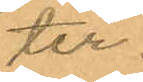ter.
